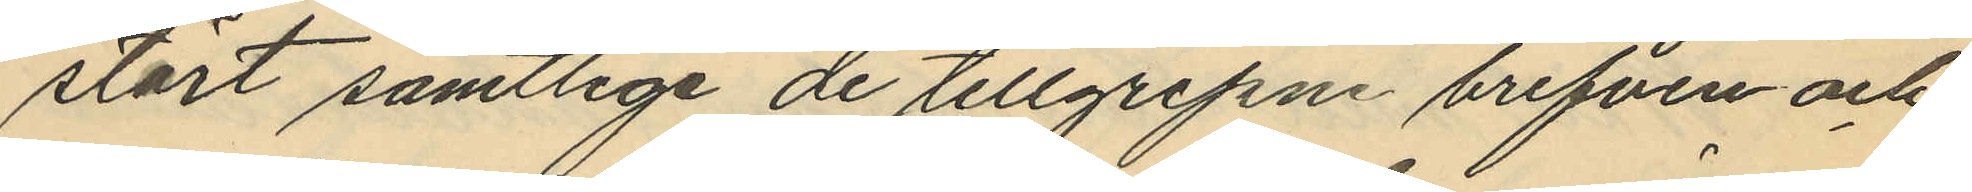stört samtlige de tillgripne brefven och
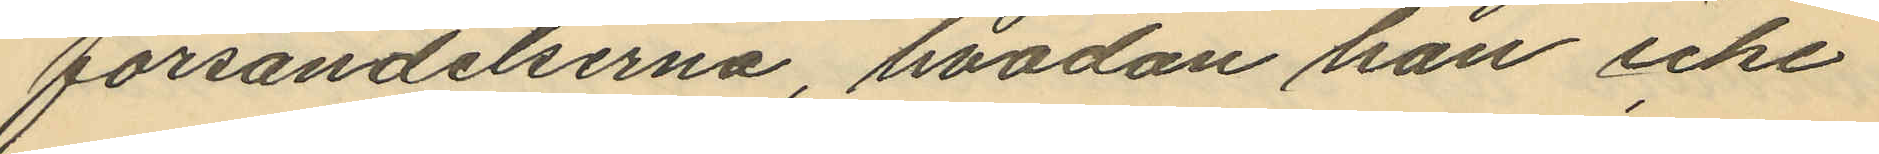försändelserna, hvadan han icke
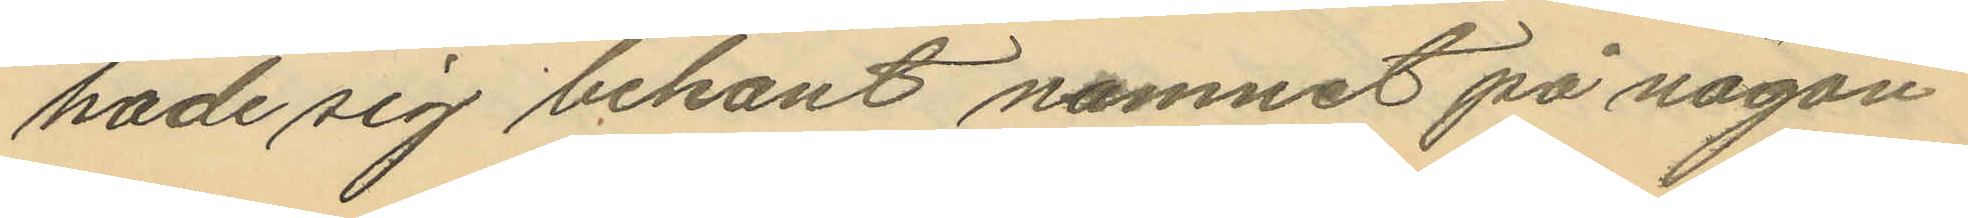hade sig bekant namnet på någon
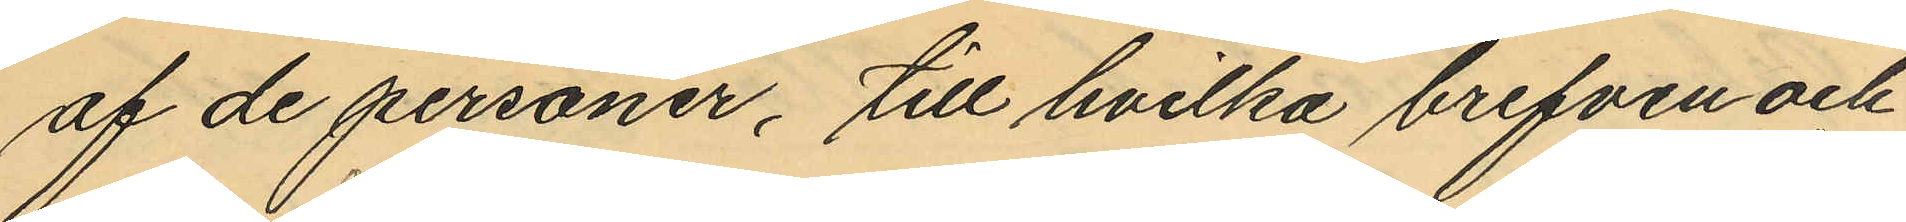af de personer, till hvilka brefven och
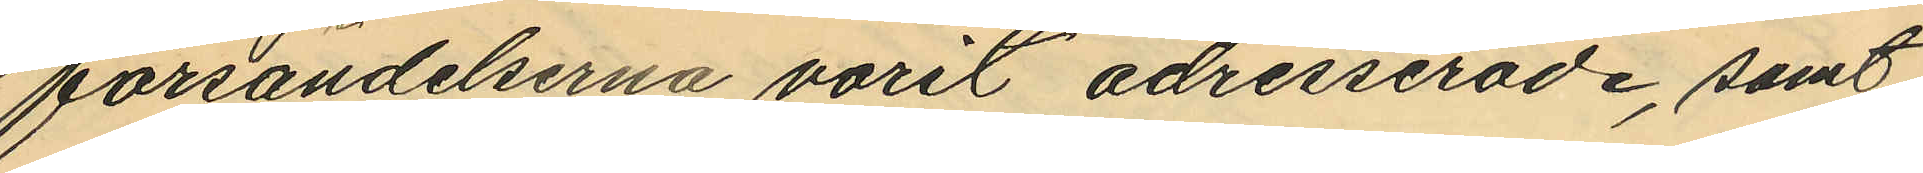försändelserna varit adresserade, samt
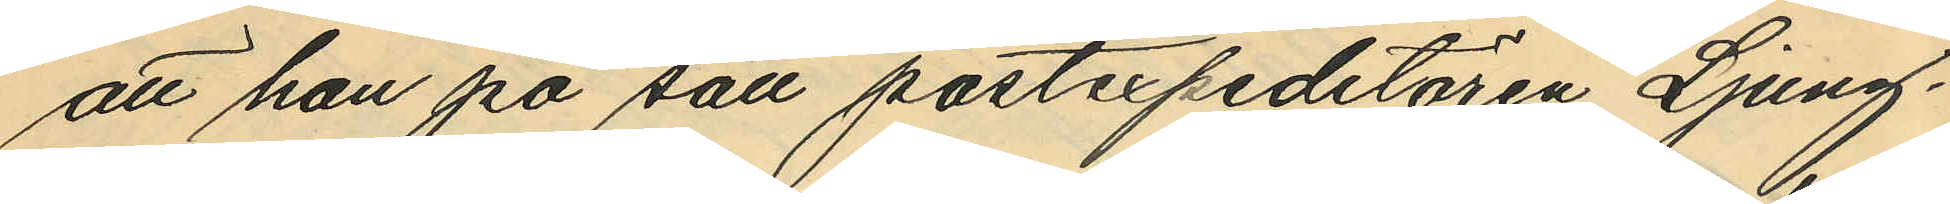att han på sätt postexpeditören Ljung¬
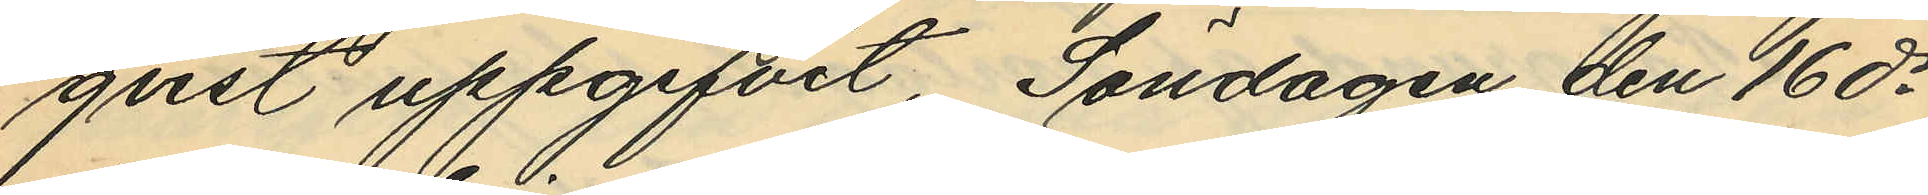qvist uppgifvit, Söndagen den 16 ds
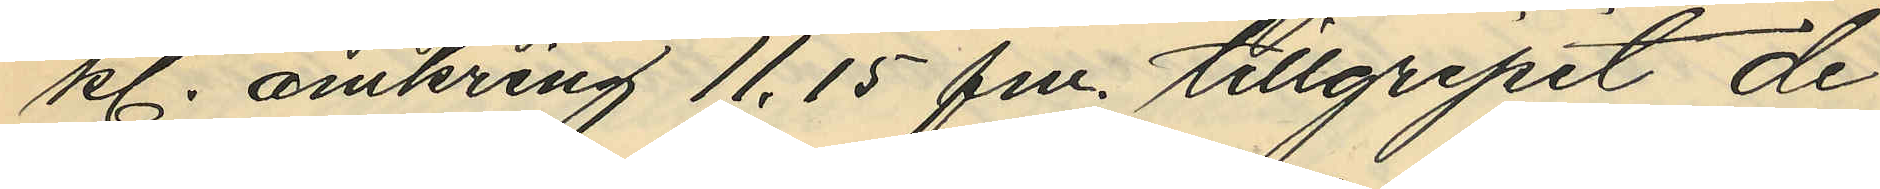kl. omkring 11,15 fm. tillgripit de
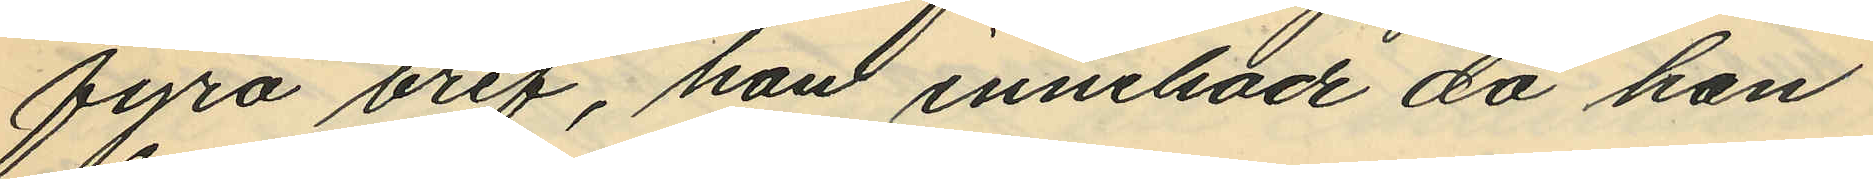fyra bref, han innehade då han
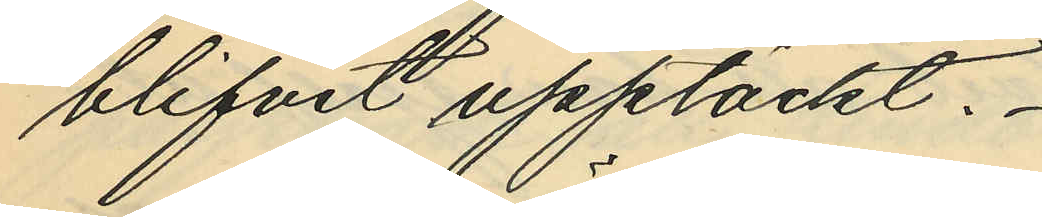blifvit upptäckt.
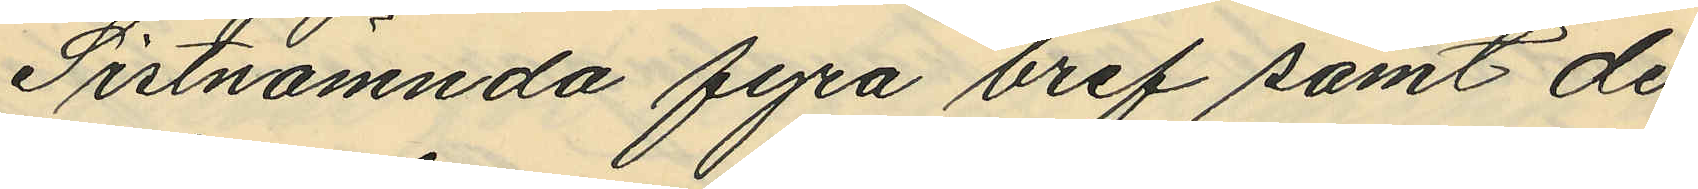Sistnämnda fyra bref samt de
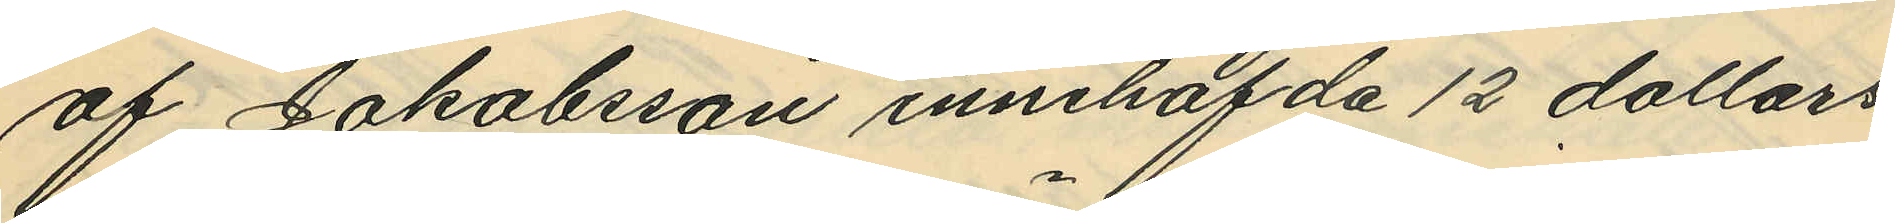af Jakobsson innehafda 12 dollars
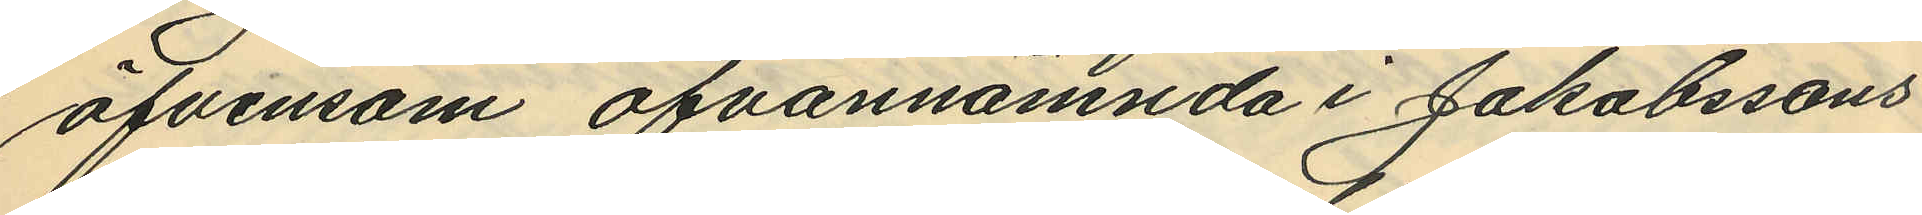äfvensom ofvannämnda i Jakobssons
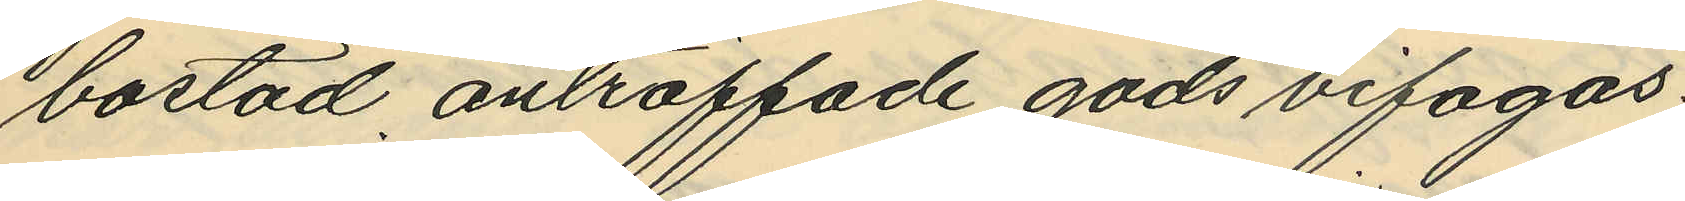bostad anträffade gods bifogas.
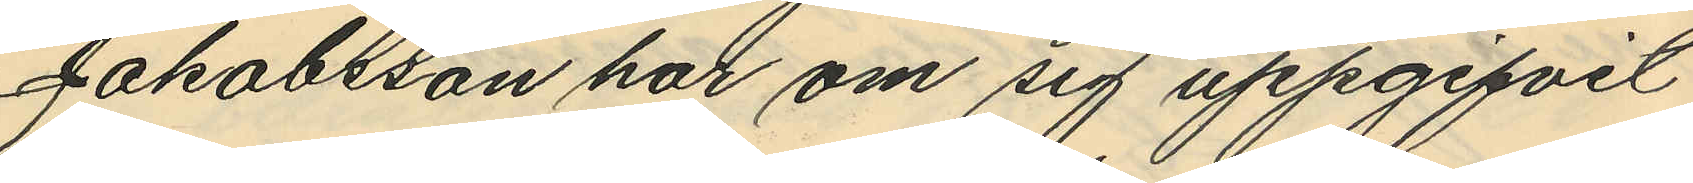Jakobsson har om sig uppgifvit
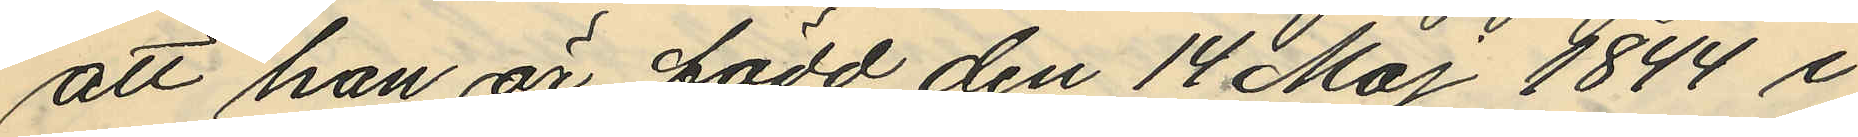att han är född den 14 Maj 1844 i
